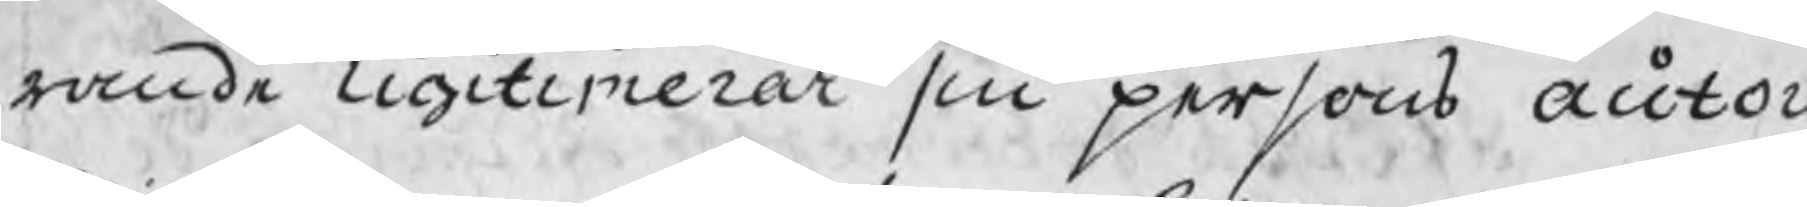rande ligitimerar sin persons autor
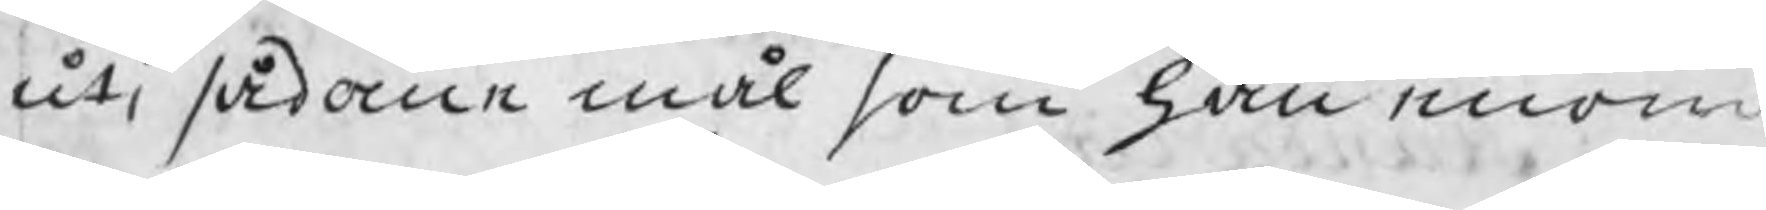uti sådane mål som han enom
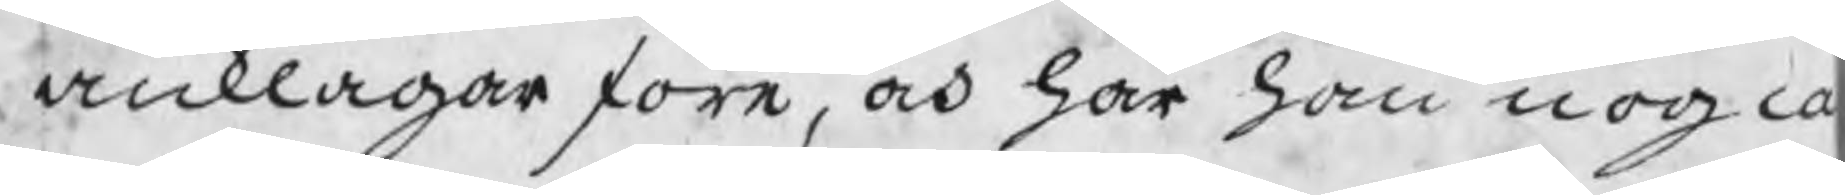anklagar före, och har han nog ca
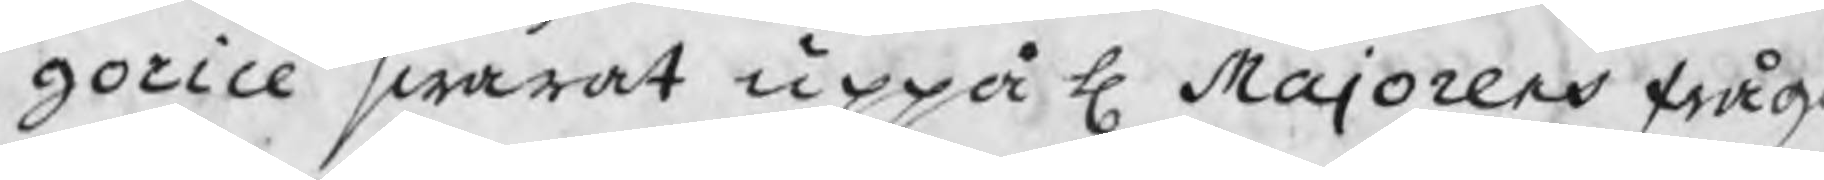gorice swarat uppå H Majorens fråg
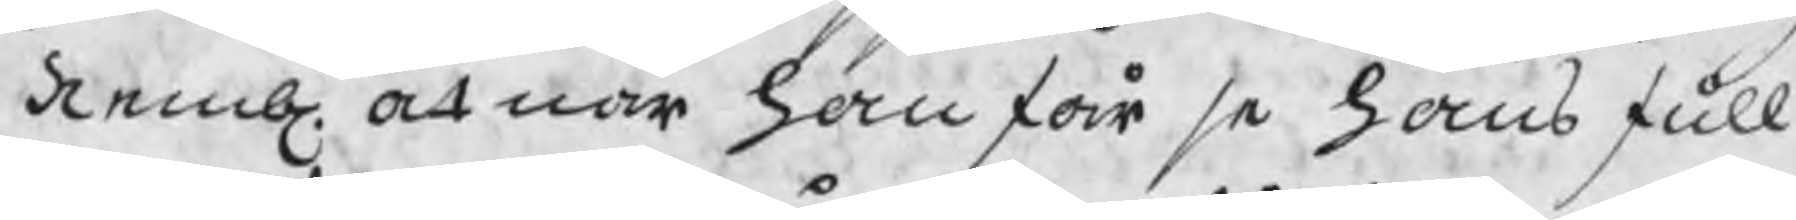Nembl. at när han får se hans full¬
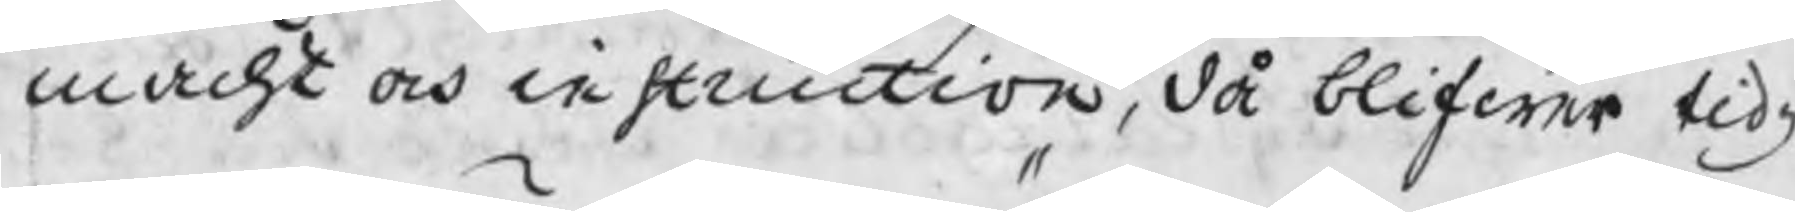macht och instruction, då blifwer tidz
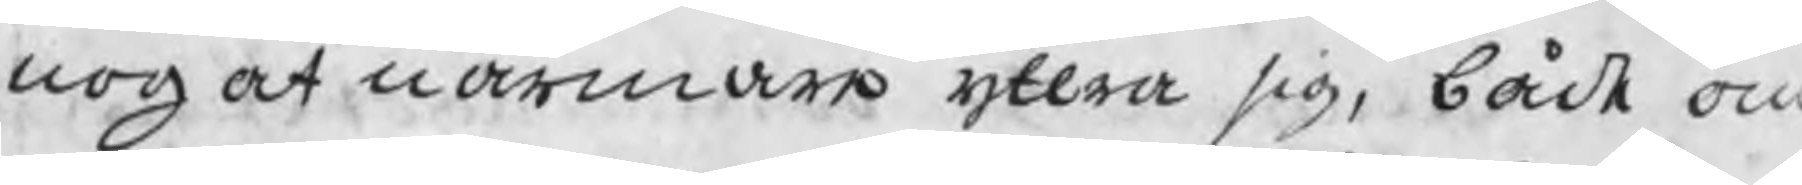nog at närmare yttra sig, både om
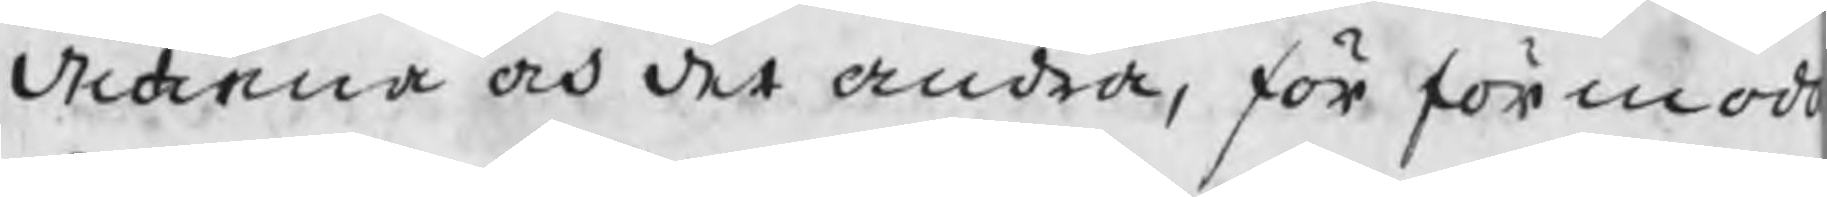det ena och det andra, för förmod
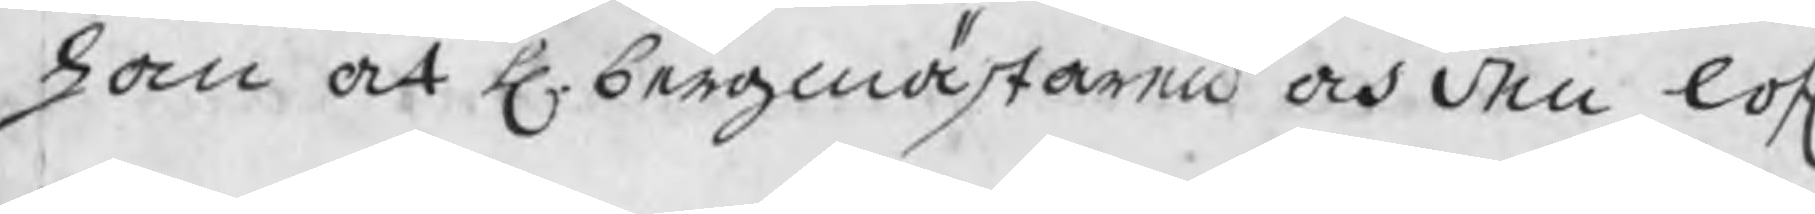han at H. bergmästaren och den lofl
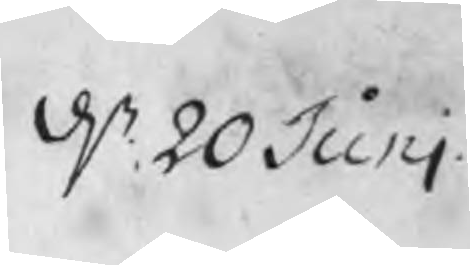d. 20 Juni
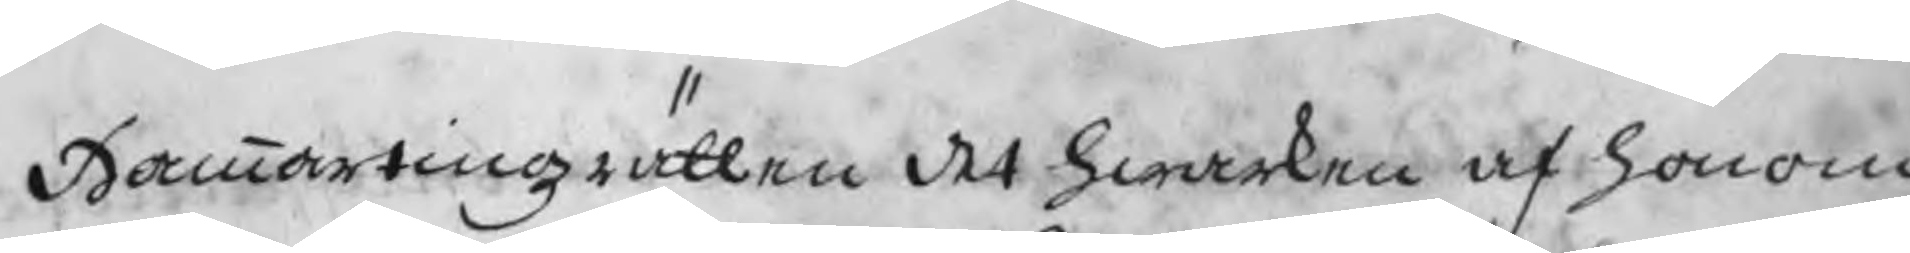Hammartingzrätten det hwarken af honom
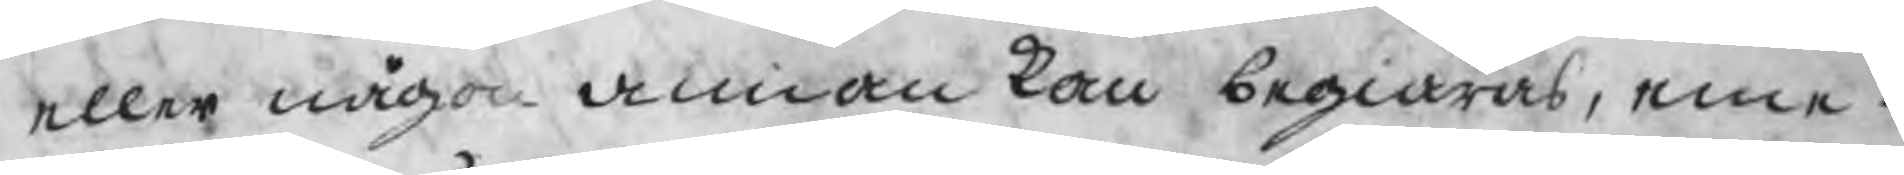eller någon annan kan begiäras, eme¬
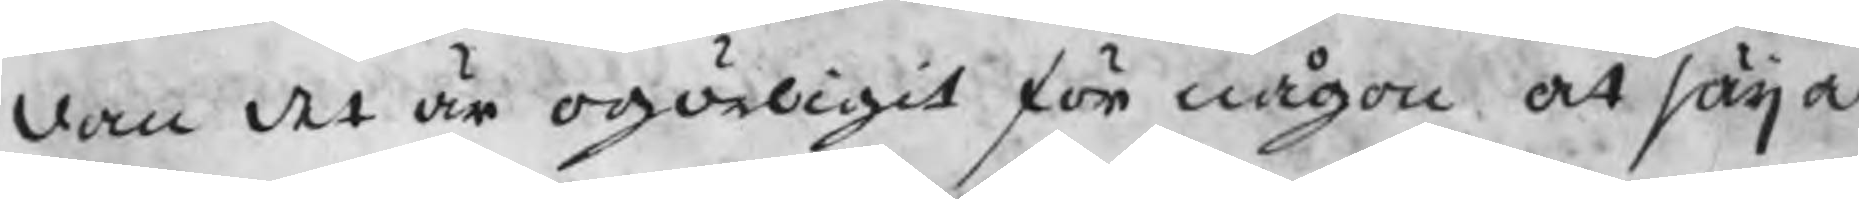dan det är ogörligit för någon at säija
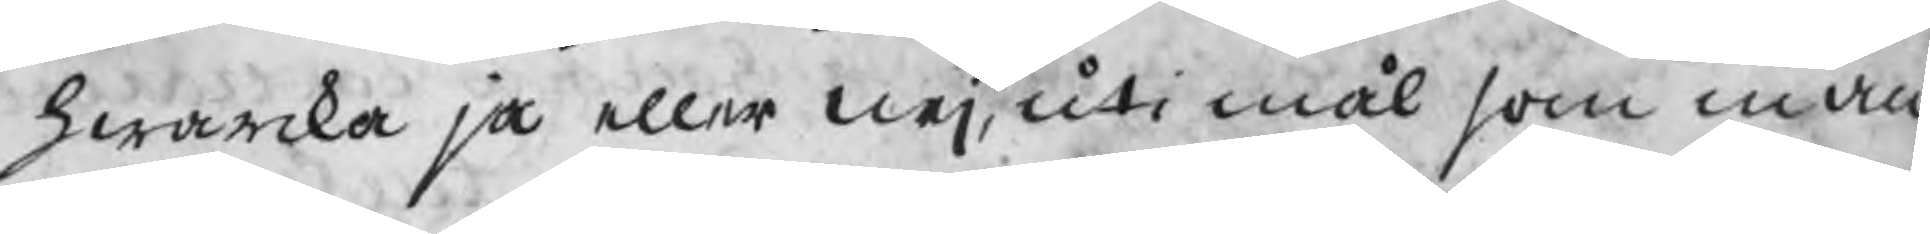hwarka ja eller nej, uti mål som man
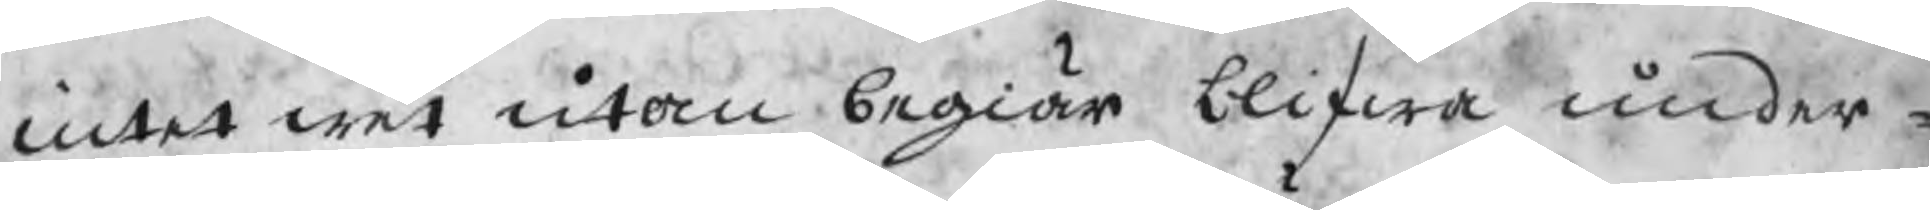intet wet utan begiär blifwa under¬
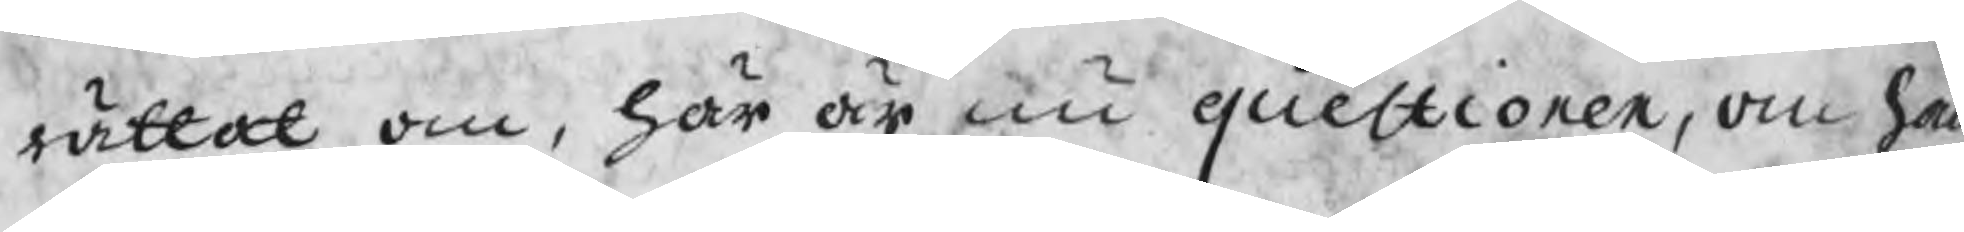rättat om, här är nu questionen, om han 
